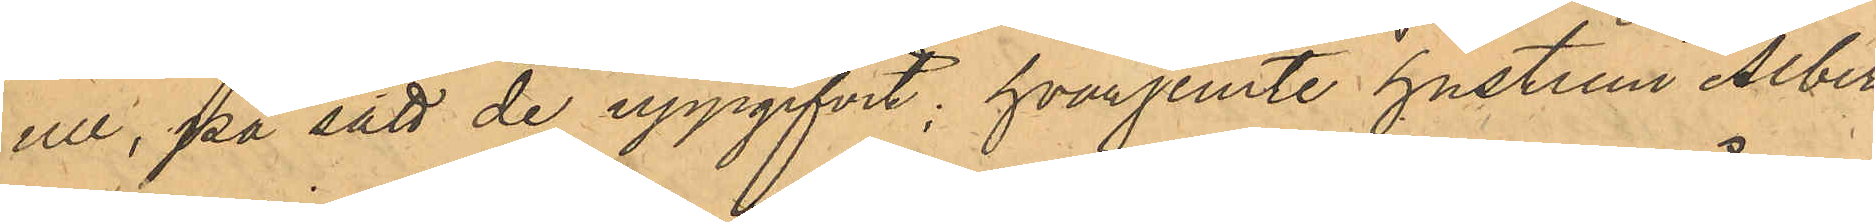ull, på sätt de uppgifvit; hvarjemte hustrun Alber¬
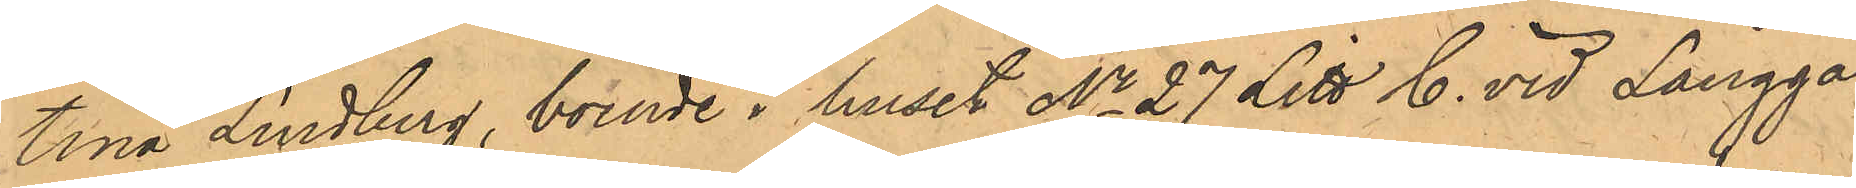tina Lindberg, boende i huset No 27 Litt C. vid Långga¬
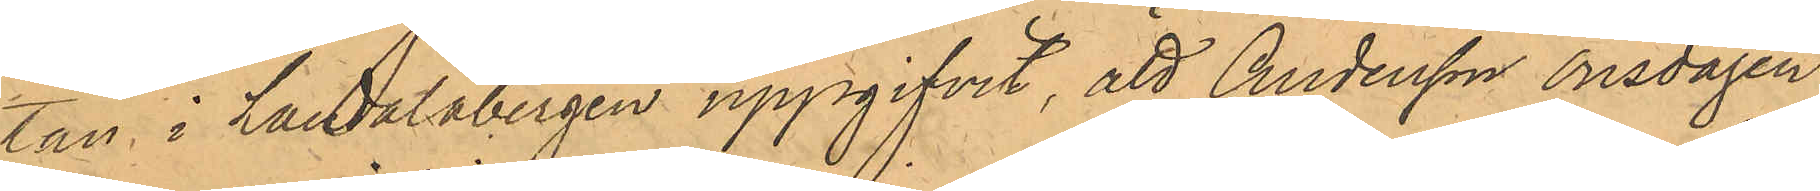tan i Landalabergen uppgifvit, att Andersson onsdagen
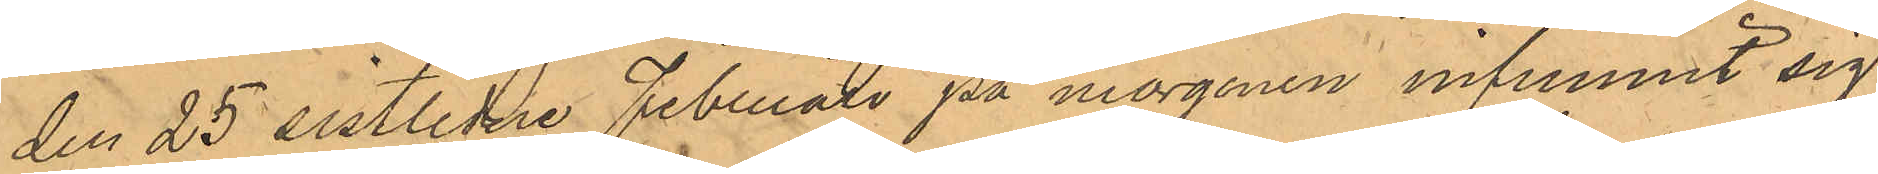den 25 sistlidne Februari på morgonen infunnit sig
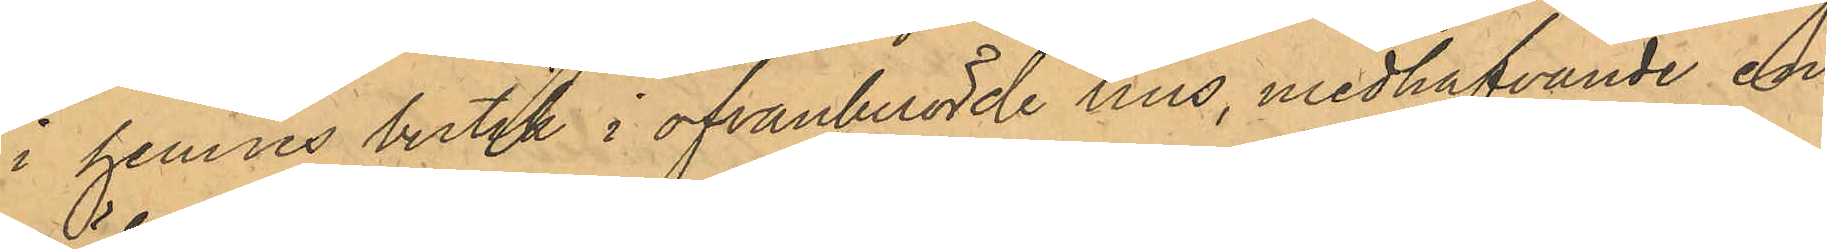i hennes butik i ofvanberörde hus, medhafvande en
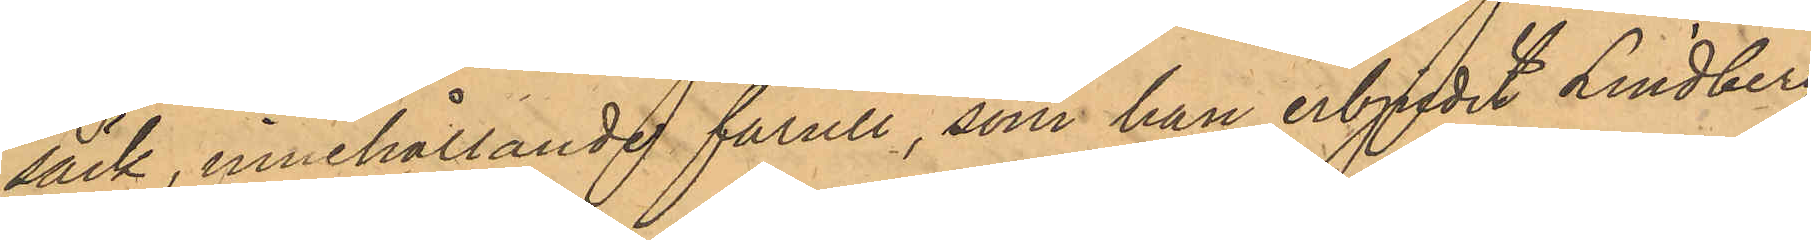säck, innehållande fårull, som han erbjudit Lindberg
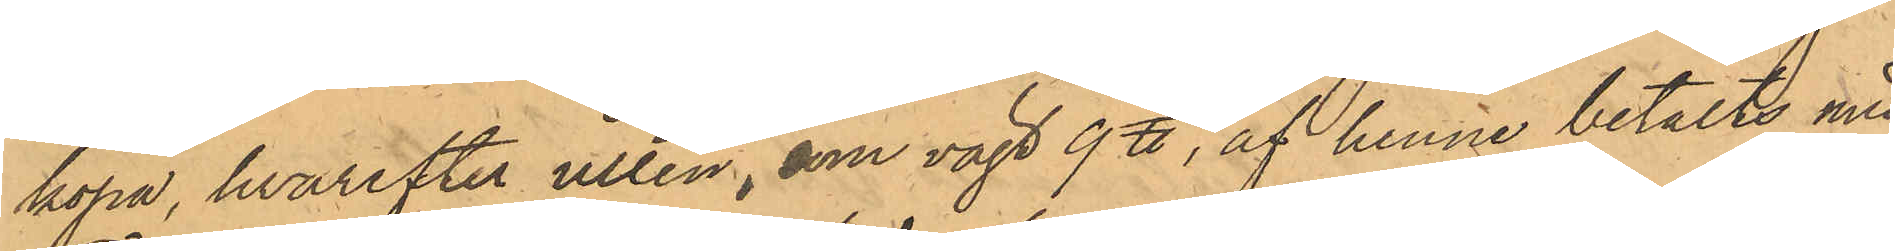köpa, hvarefter ullen, som vägt 9 ℔, af henne betalts med
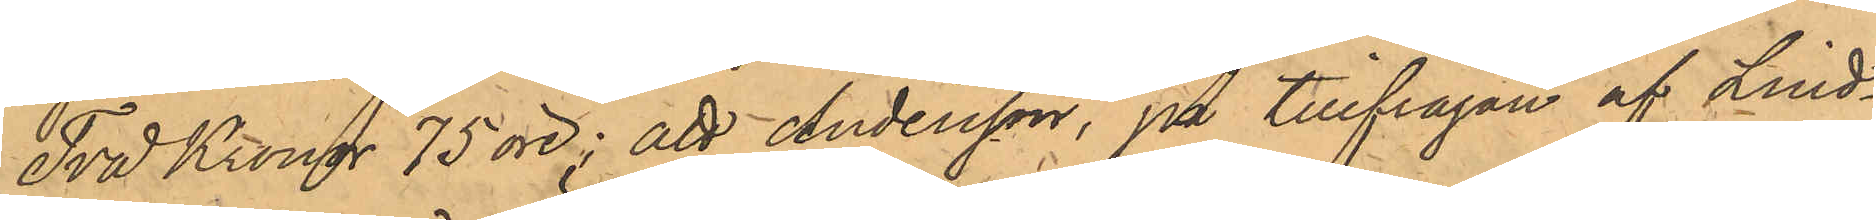Två Kronor 75 öre; att Andersson, på tillfrågan af Lind¬
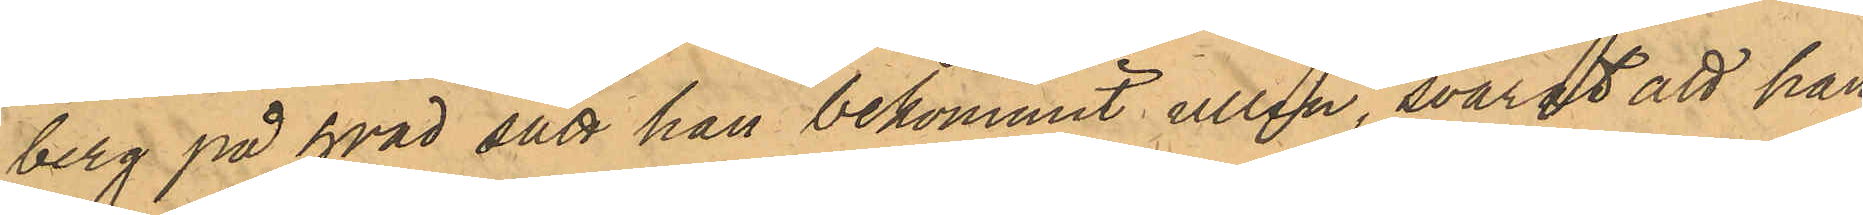berg på hvad sätt han bekommit ullen, svarat att han
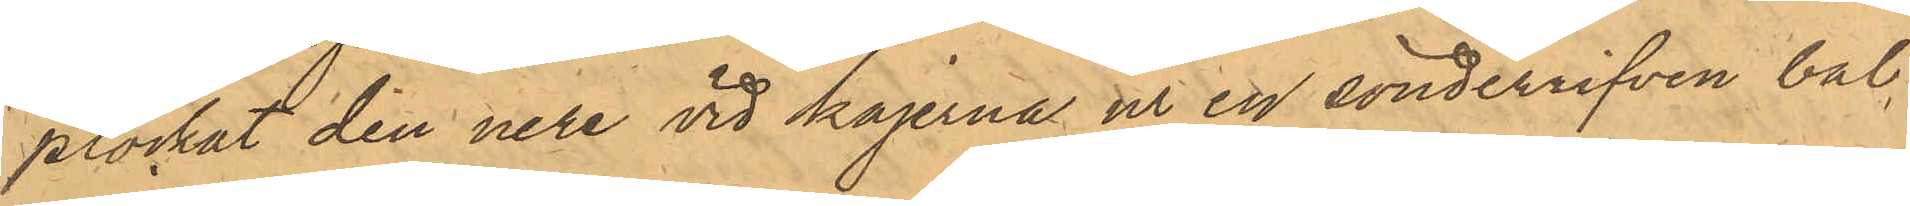plockat den nere vid kajerna ur en sönderrifven bal,
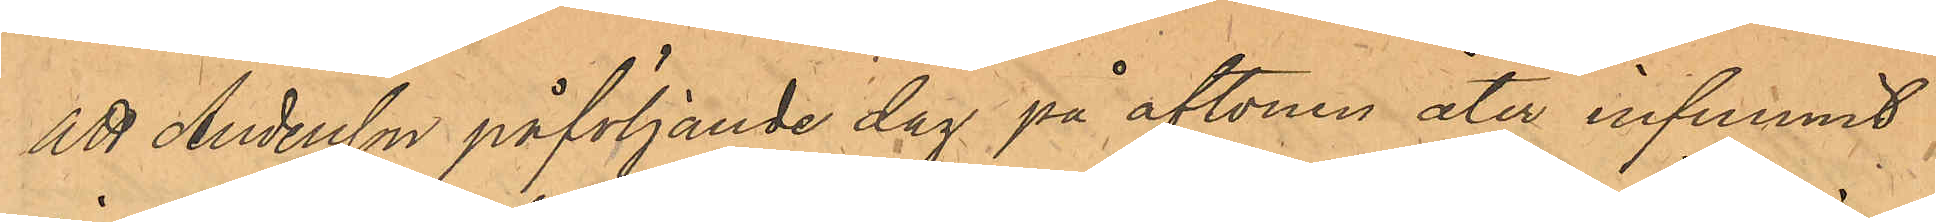att Andersson påföljande dag på aftonen åter infunnit
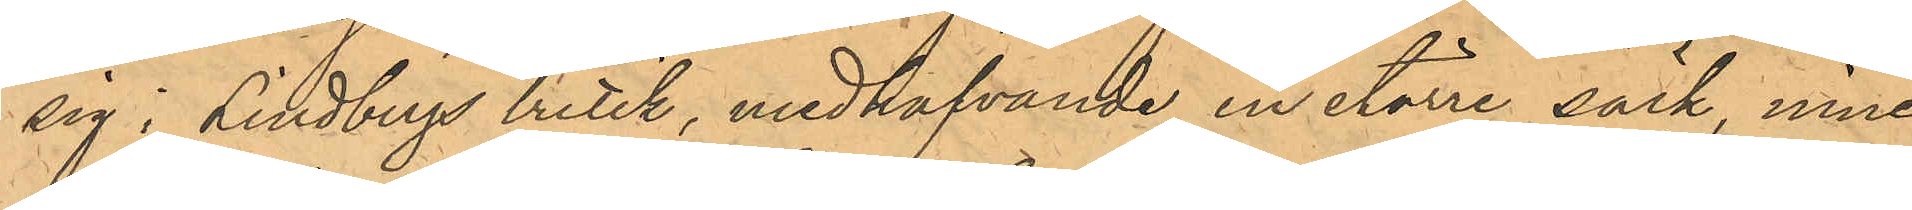sig i Lindbergs butik, medhafvande en större säck, inne¬
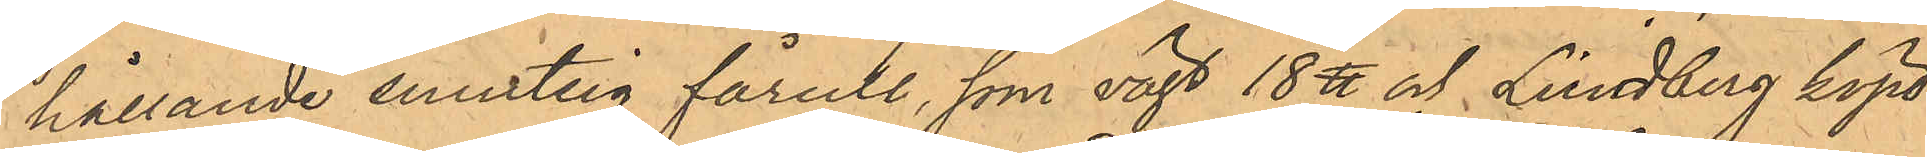hållande smutsig fårull, som vägt 18 ℔ och Lindberg köpt
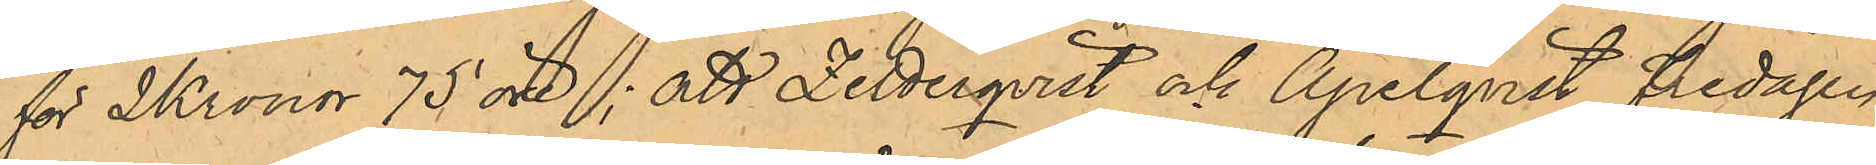för 2 kronor 75 öre; att Zetterqvist och Apelqvist Fredagen
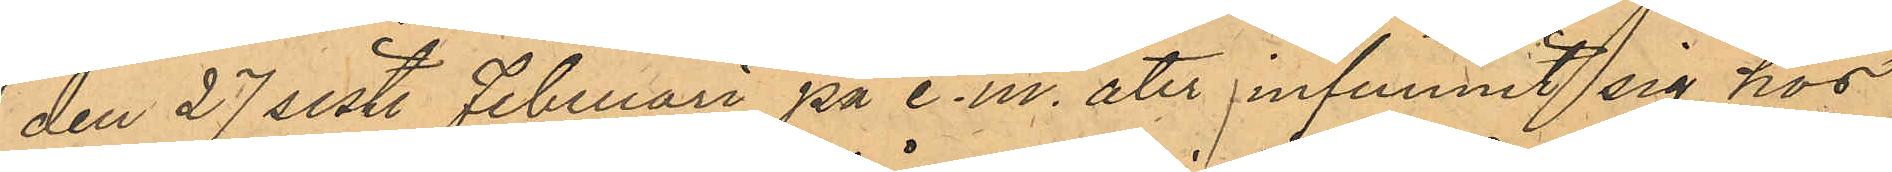den 27 sist. Februari på e.m. åter infunnit sig hos
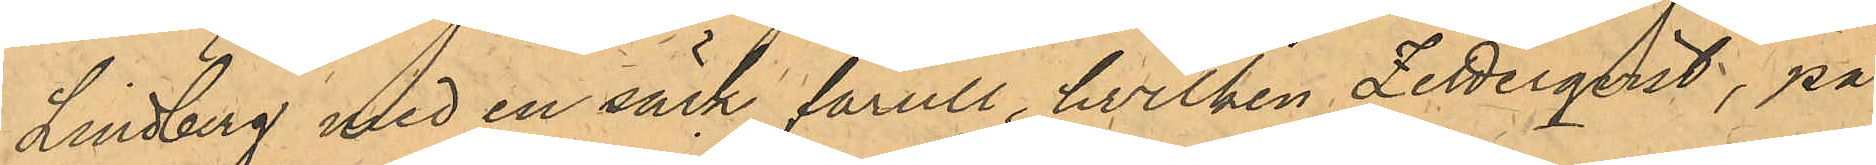Lindberg med en säck fårull, hvilken Zetterqvist, på
